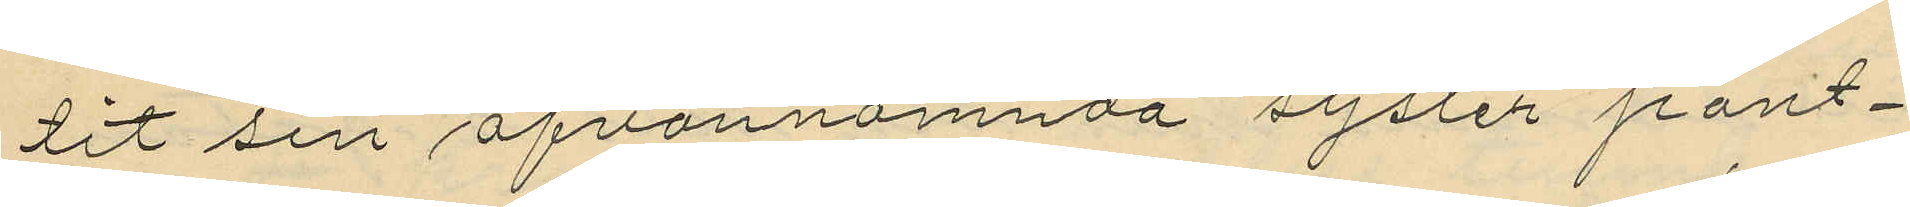tit sin ofvannämnda syster pant¬
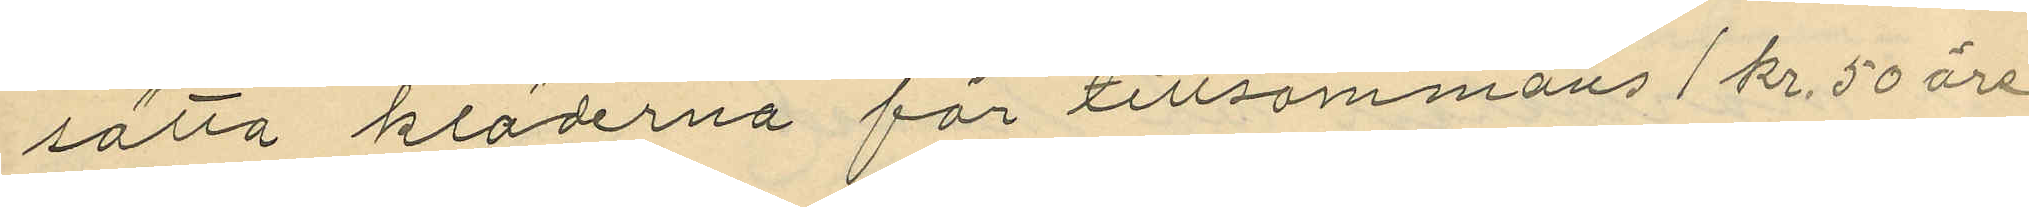satta kläderna för tillsammans 1 kr. 50 öre
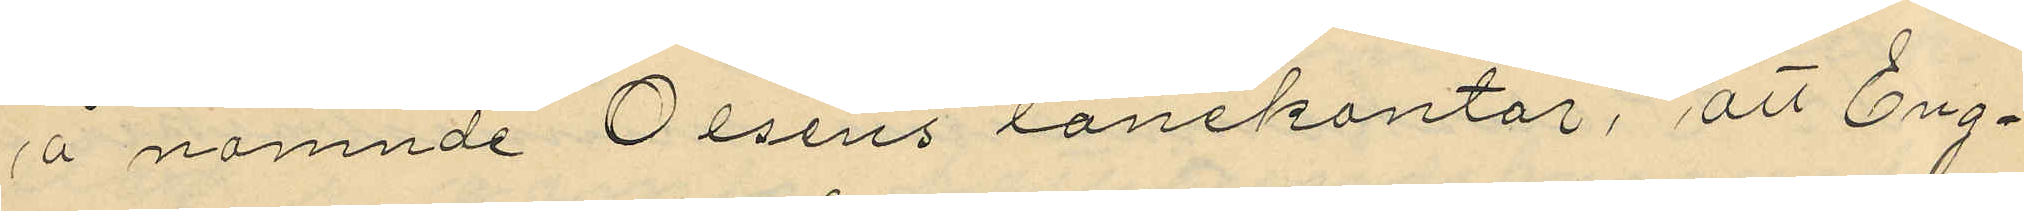å nämnde Olséns lånekontor, att Eng¬
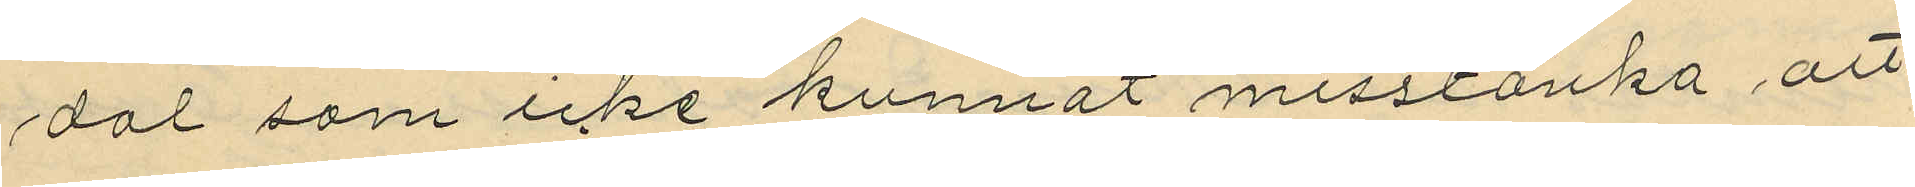dal som icke kunnat misstänka att
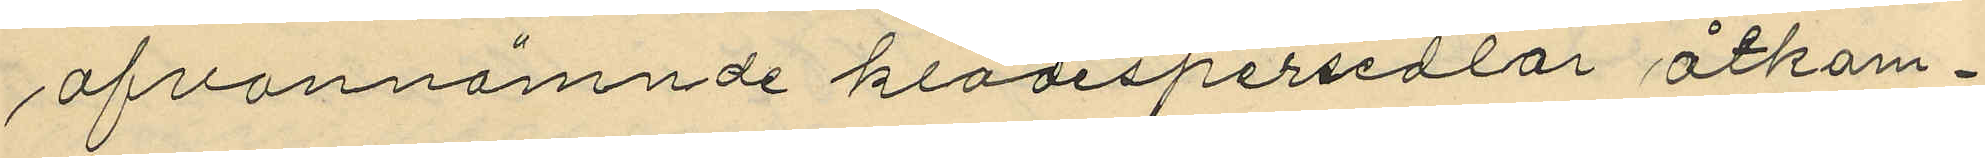ofvannämnde klädespersedlar åtkom¬
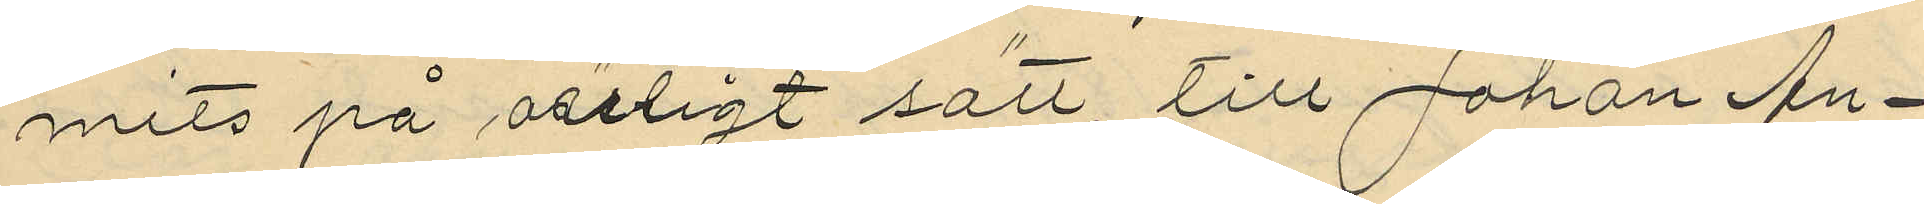mits på oärligt sätt, till Johan An¬
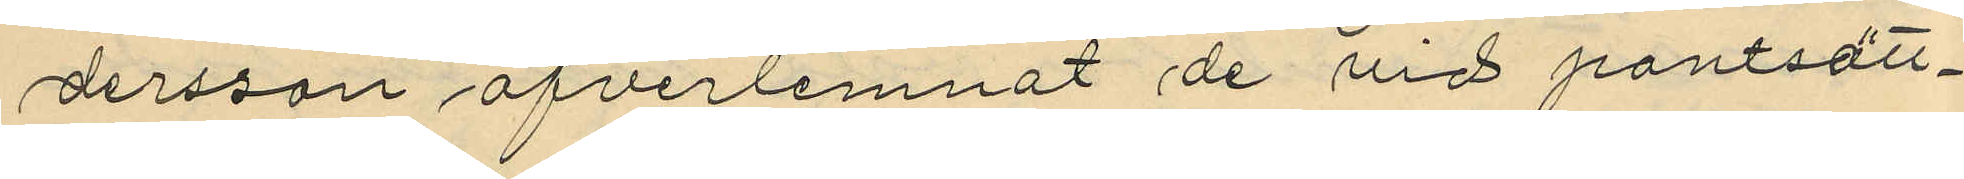dersson öfverlemnat de vid pantsätt¬
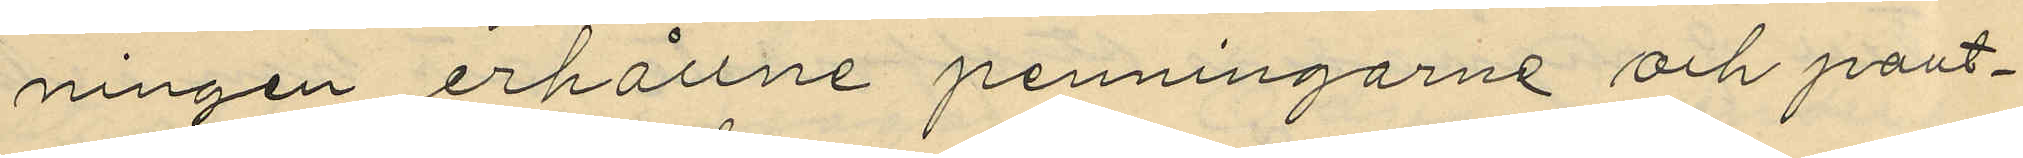ningen erhållne penningarne och pant¬
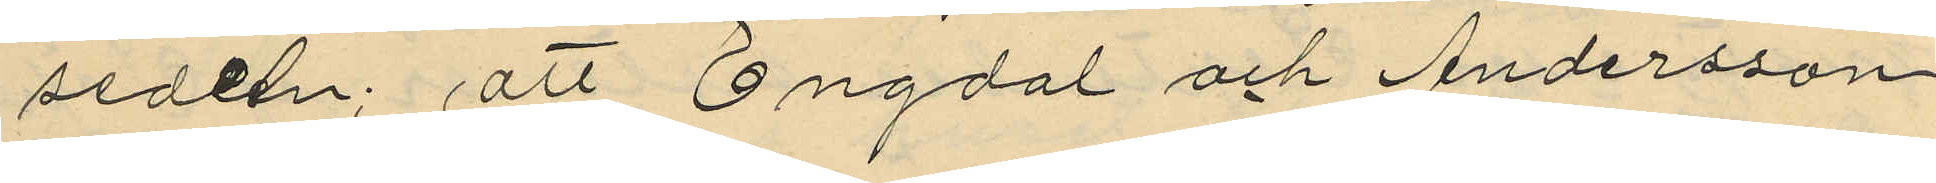sedeen; att Engdal och Andersson
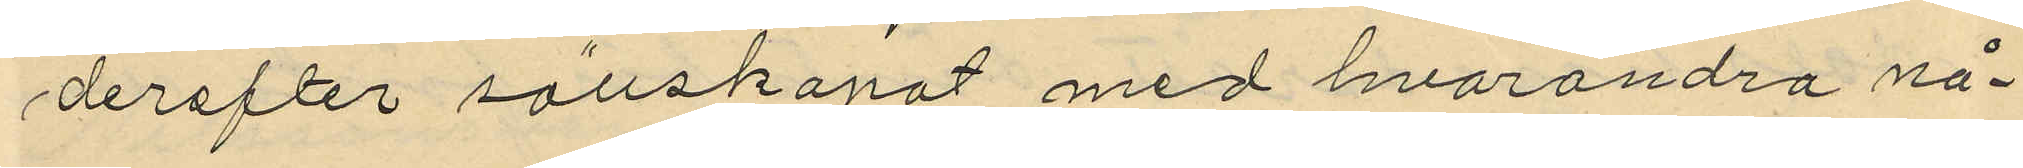derefter sällskapat med hvarandra nå¬
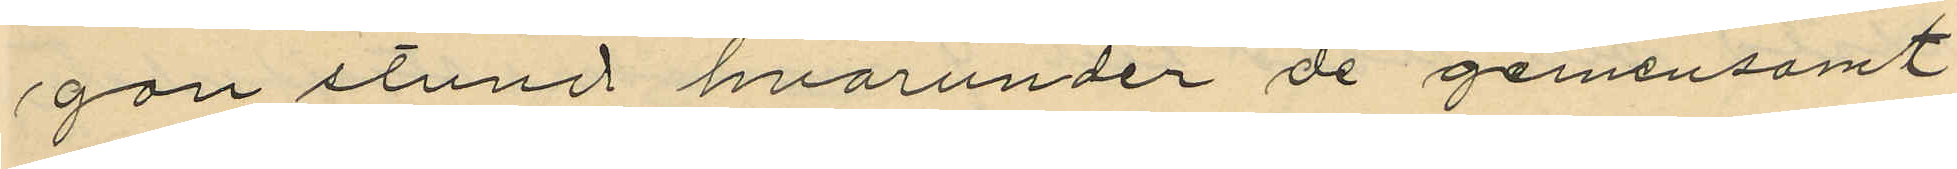gan stund hvarunder de gemensamt
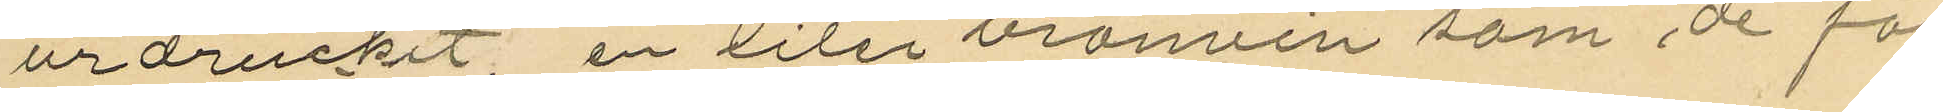urdruckit, en liter brännin som de för
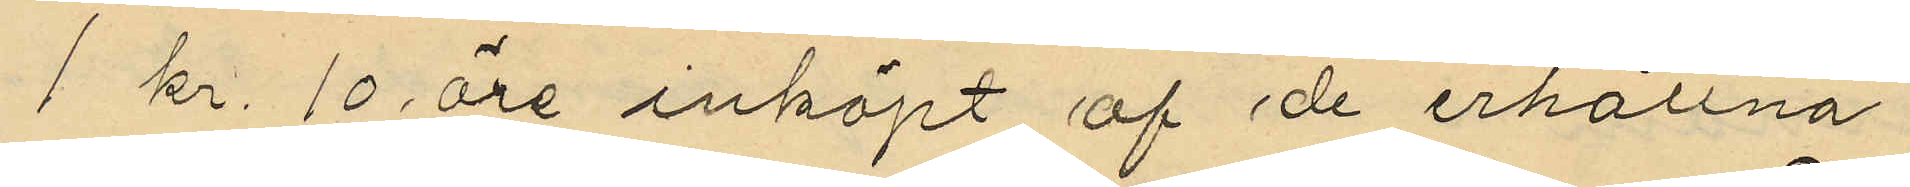1 kr. 10 öre inköpt af de erhållna
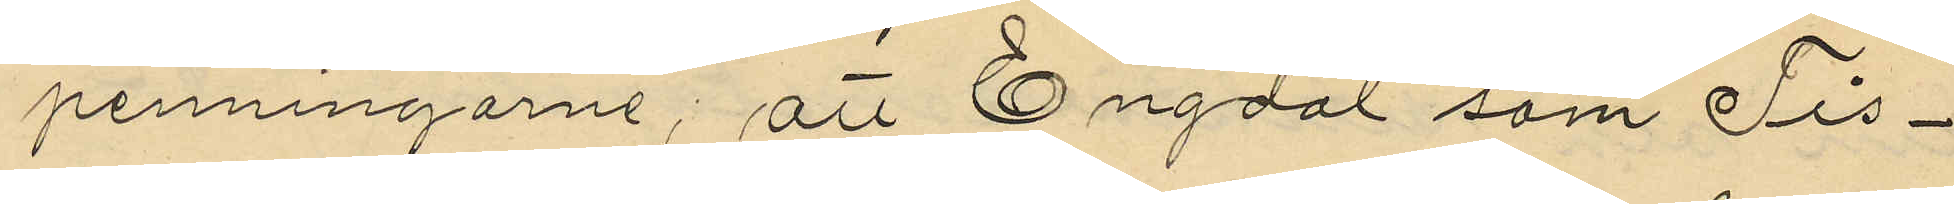penningarne; att Engdal som Tis¬
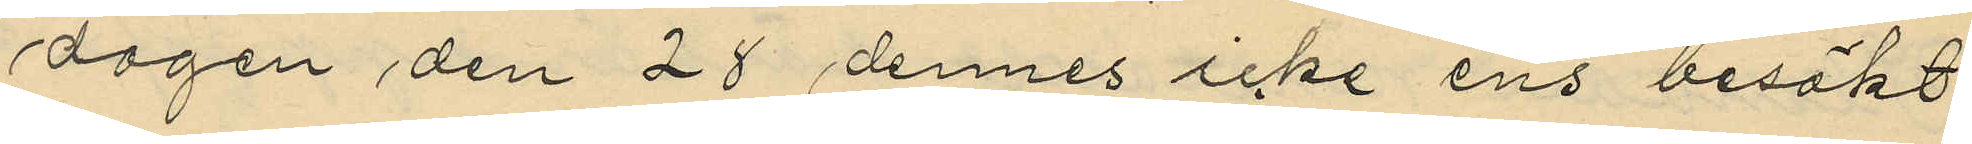dagen den 28 dennes icke ens besökt
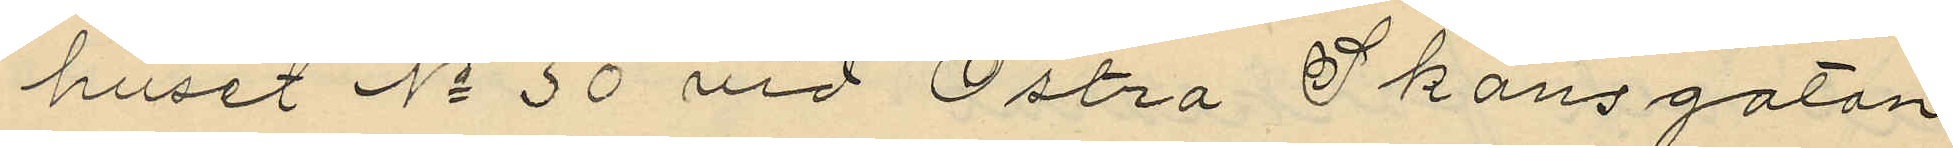huset No 30 vid Östra Skansgatan
